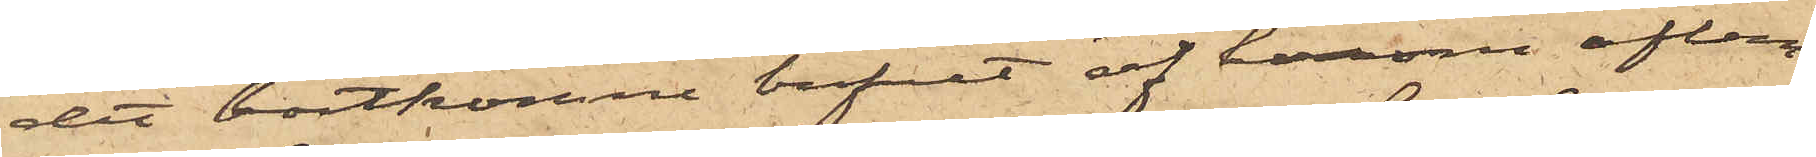det bortkomne brefvet af honom aflem¬
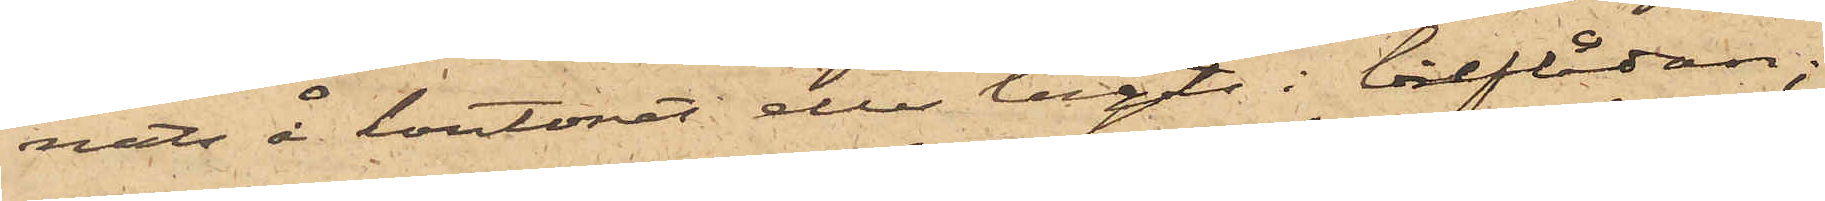nats å kontoret eller lagts i breflådan;
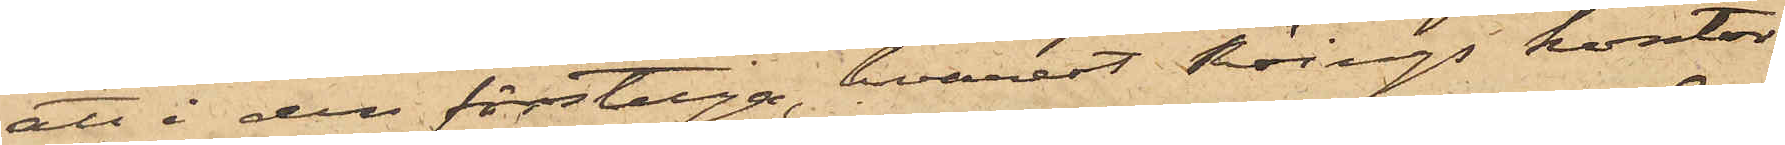att i den förstuga, hvarest Röings kontor
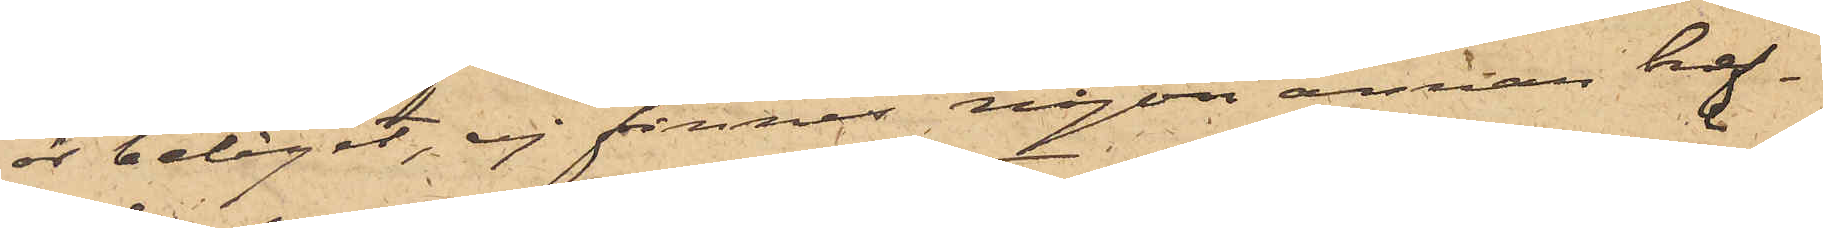är beläget, ej finnes någon annan bref¬
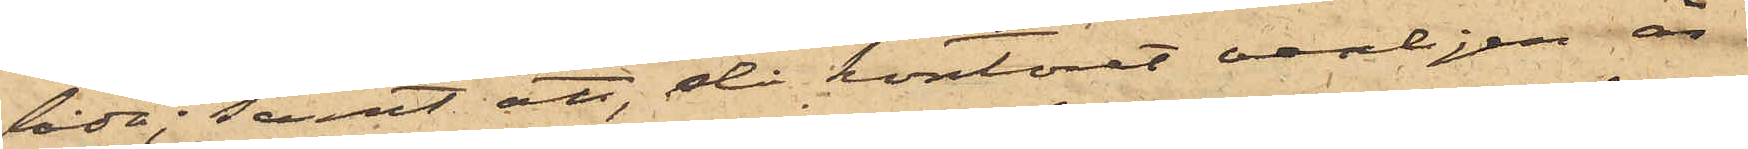låda; samt att, då kontoret vanligen är
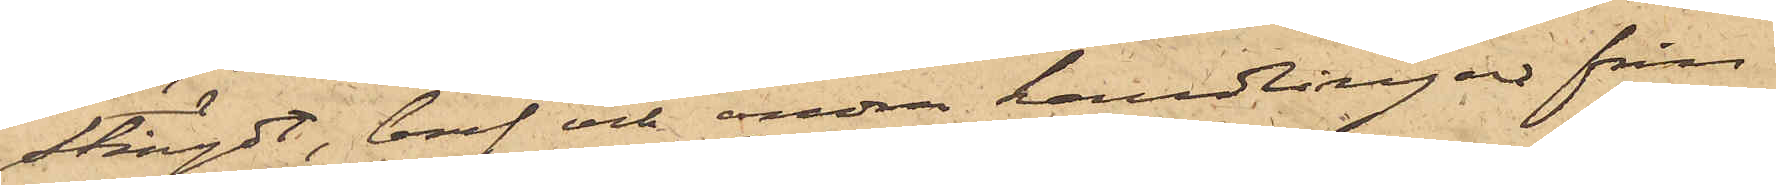stängdt, bref och andra handlingar från
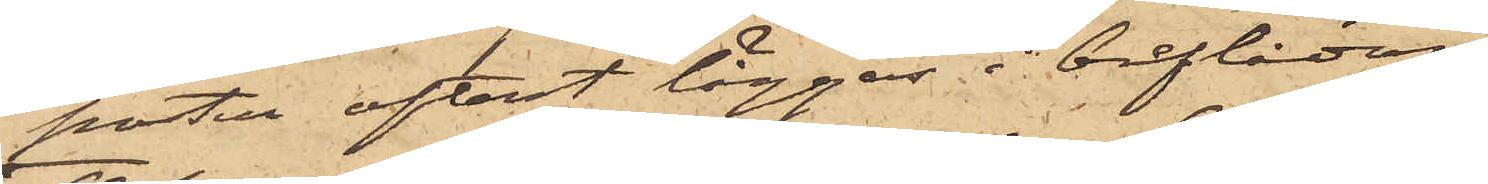posten oftast lägges i breflådan.
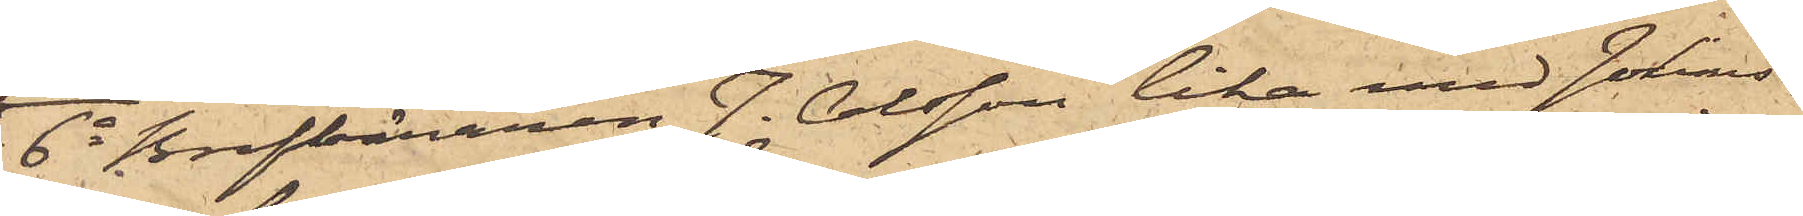6o Brefbäraren J. Olsson lika med Johans¬
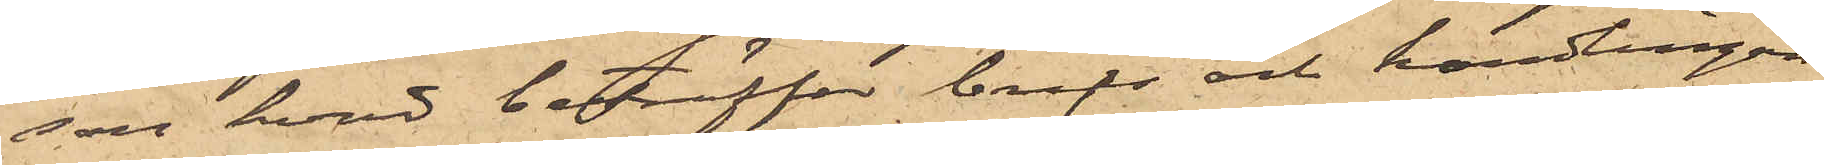son hvad beträffar brefs och handlingars
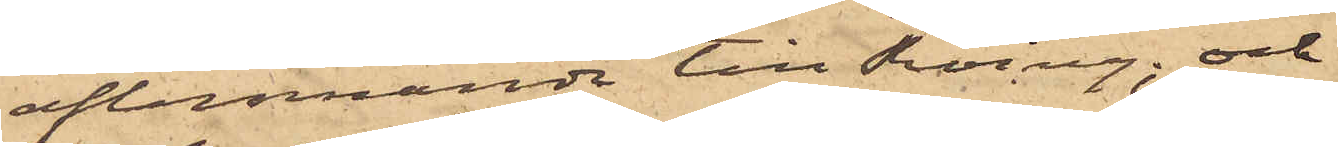aflemnande till Röing; och
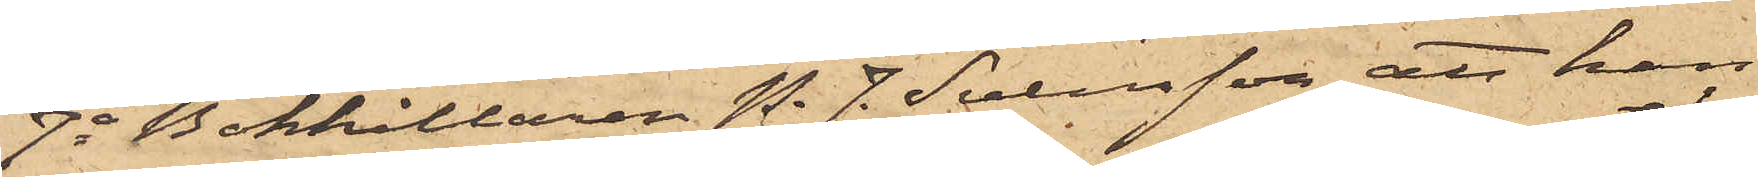7o Bokhållaren P. J. Svensson, att han
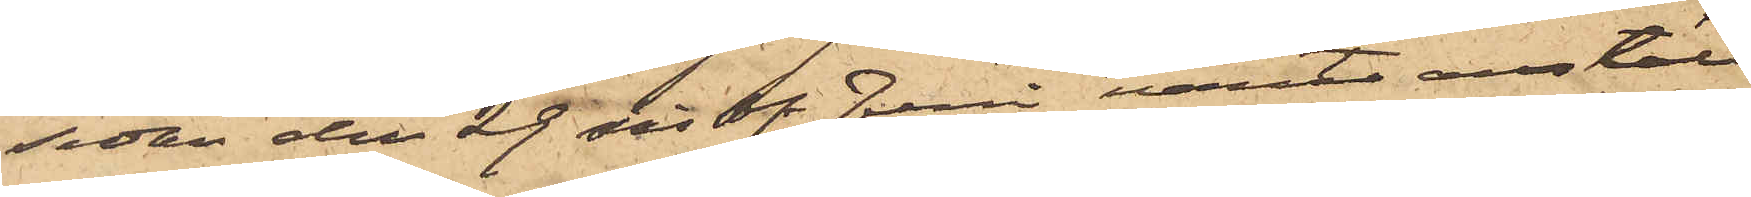sedan den 29 sist. Juni varit anstäld
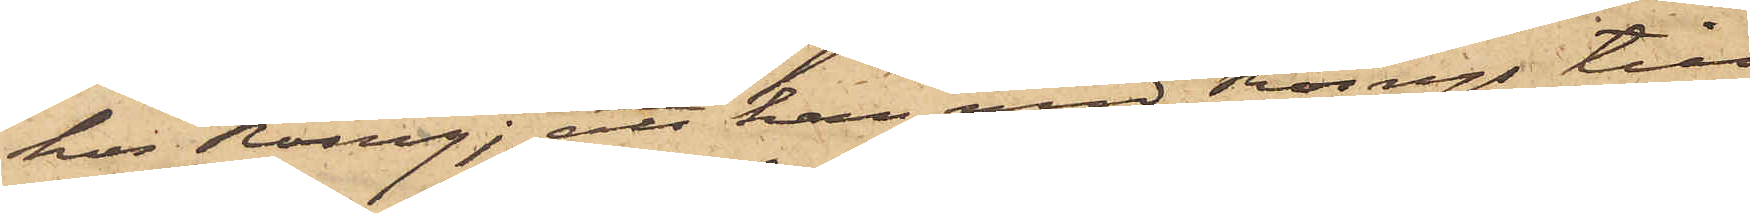hos Röing; att han med Röings till¬
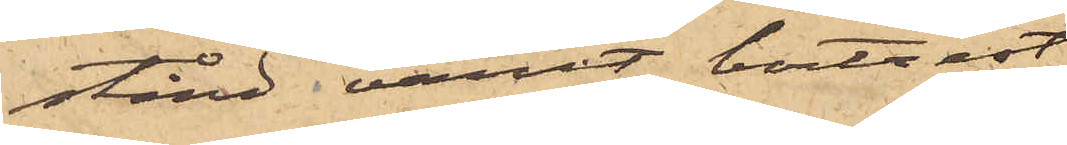stånd varit bortrest
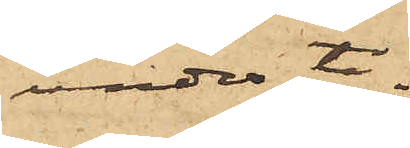under ti¬
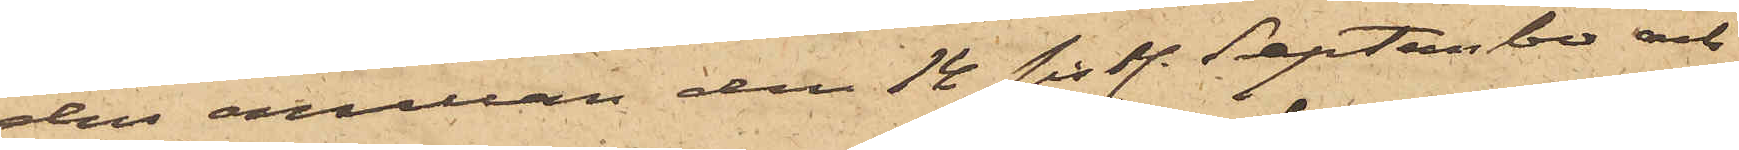den mellan den 18 sist. September och
